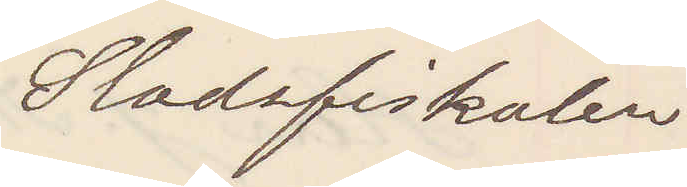Stadsfiskalen
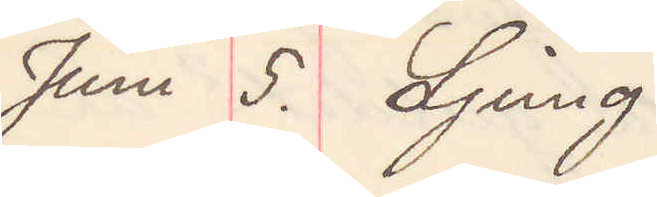Juni 5. Ljung.
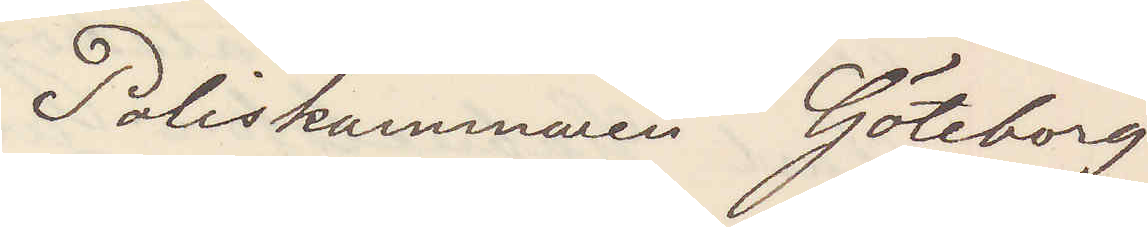Poliskammaren Göteborg
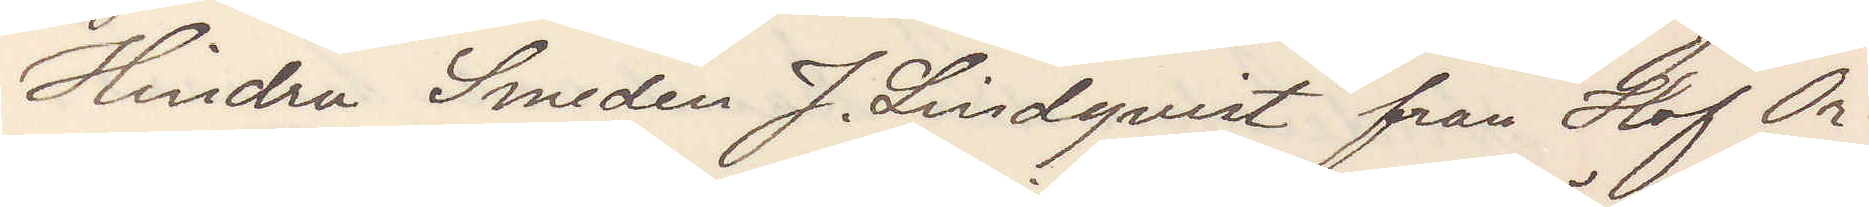Hindra Smeden J. Lindqvist från Hof Ör¬
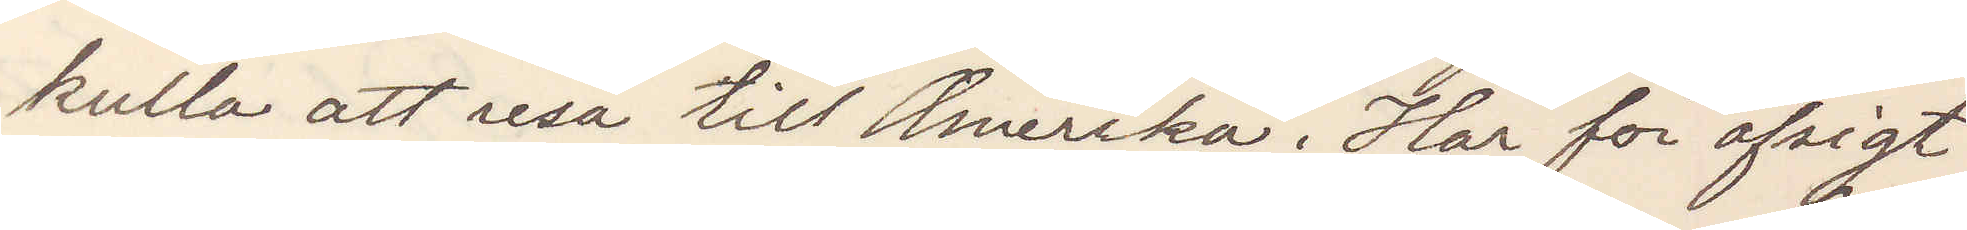kulla att resa till Amerika. Har för afsigt
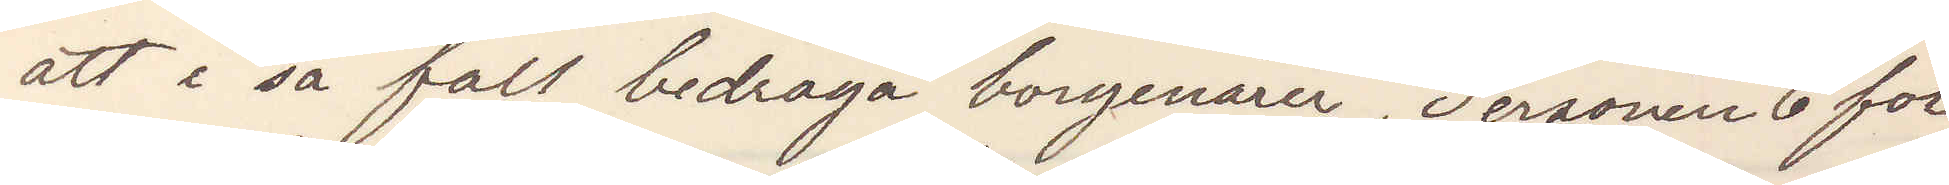att i så fall bedraga borgenärer. Personen 6 fot
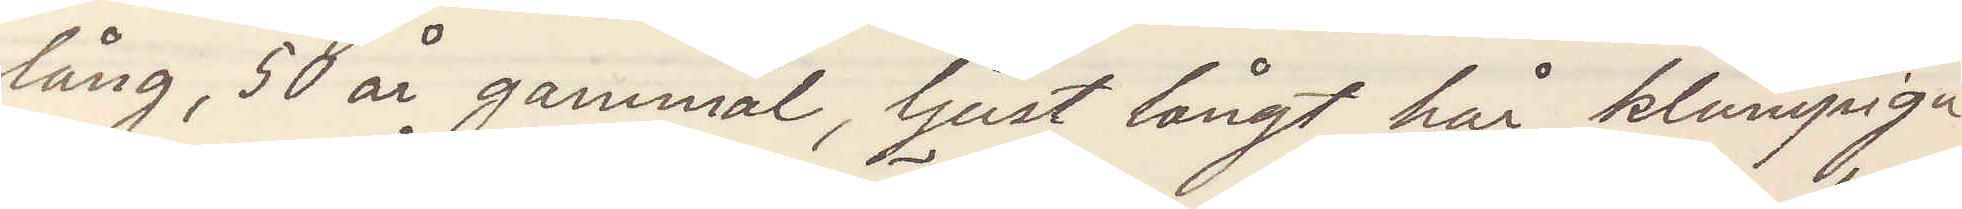lång, 50 år gammal, ljust långt hår, klumpiga
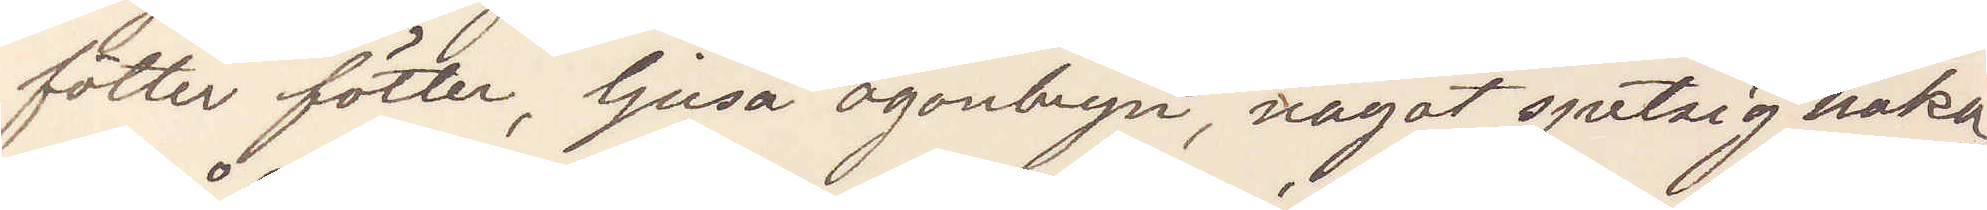fötter fötter, ljusa ögonbryn, något spetsig haka
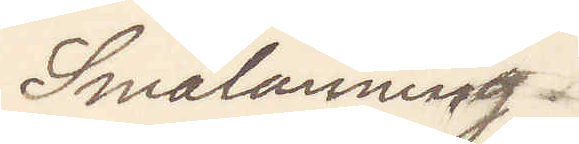Smålänning
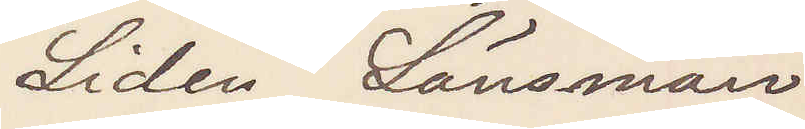Lidén Länsman
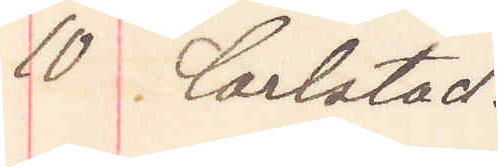10 Carlstad.
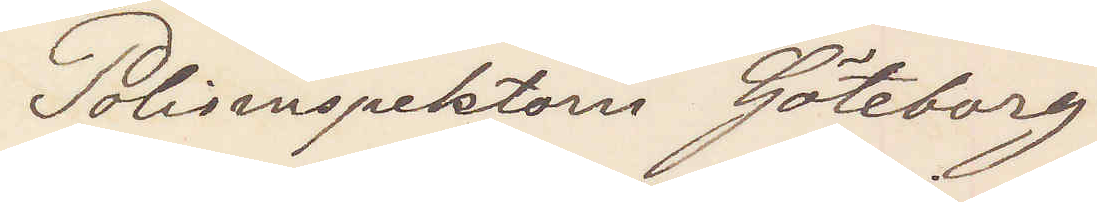Polisinspektorn Göteborg
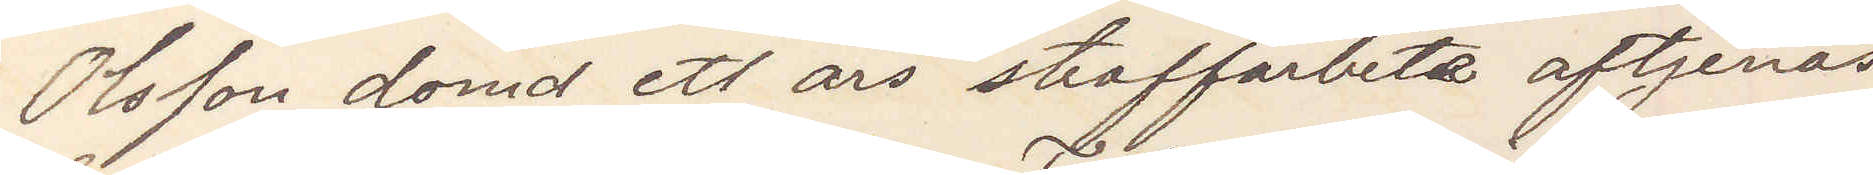Olsson dömd ett års straffarbete aftjenas
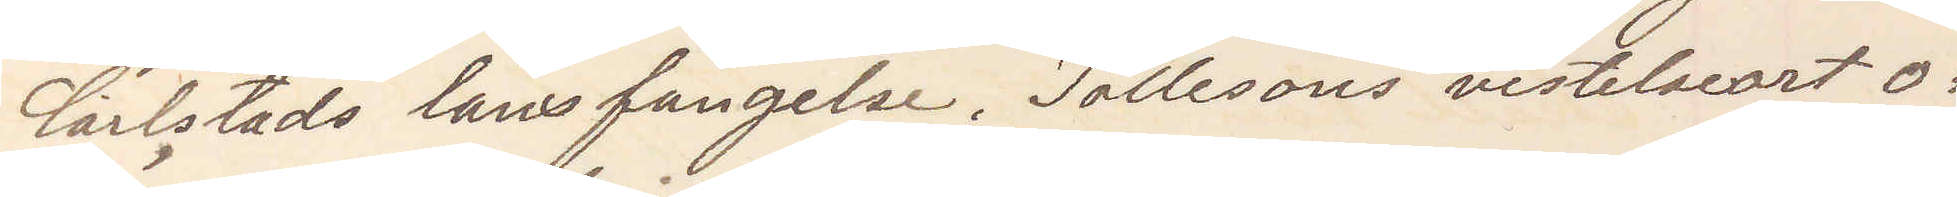Karlstads länsfängelse. Tollesons vitselseort o¬
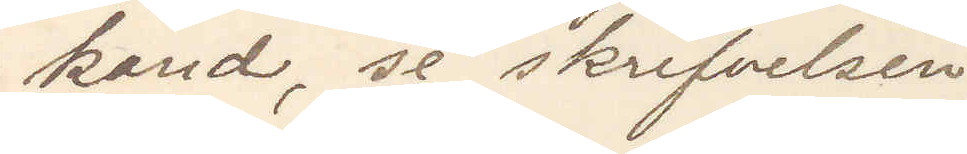känd, se skrifvelsen
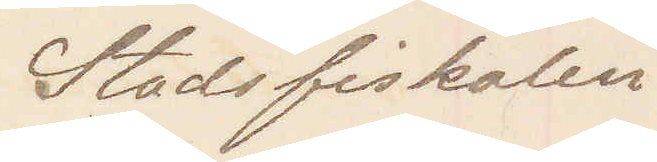Stadsfiskalen
